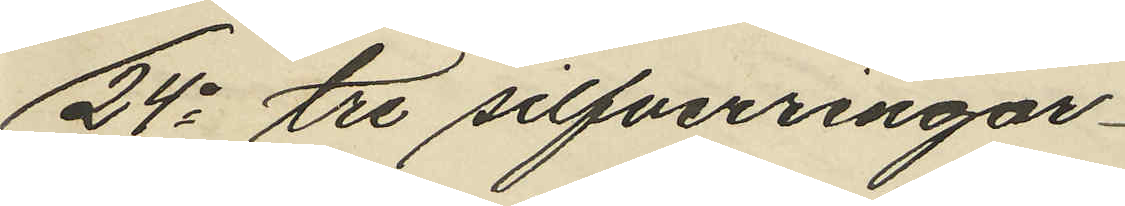24o tre silfverringar
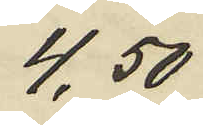4,50
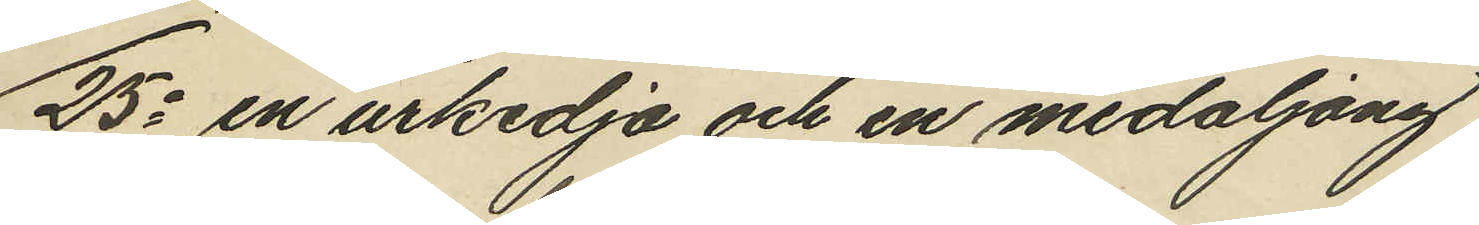25o en urkedja och en medaljong
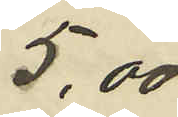5,00
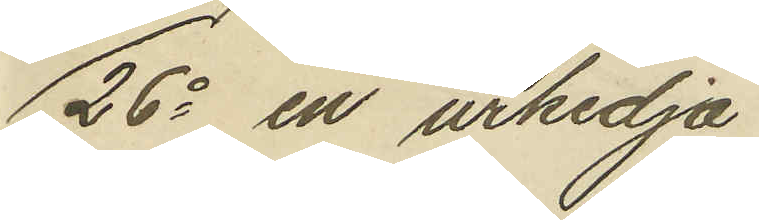26o en urkedja
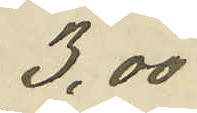3,00
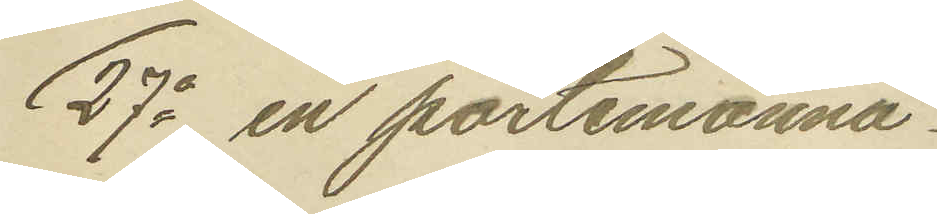27o en portemonnä.
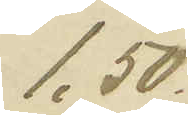1,50.
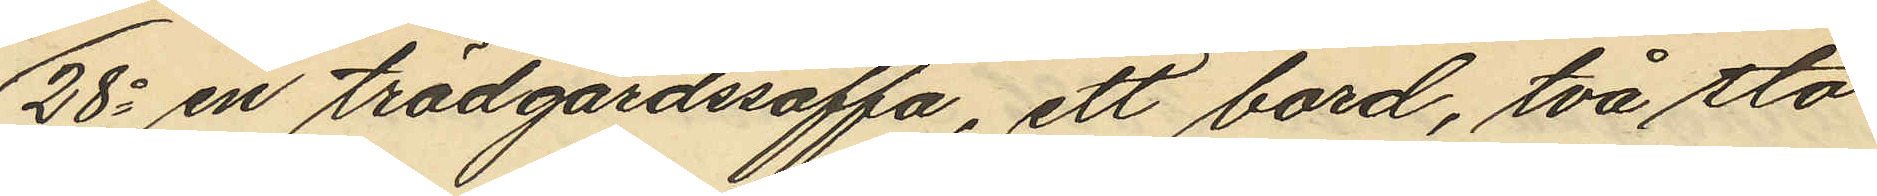28o en trädgårdssoffa, ett bord, två sto¬
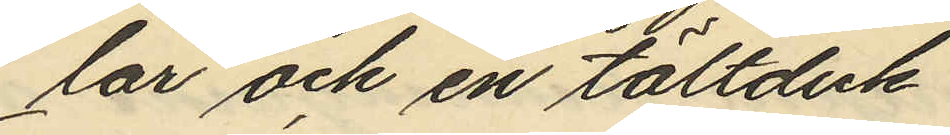lar och en tältduk
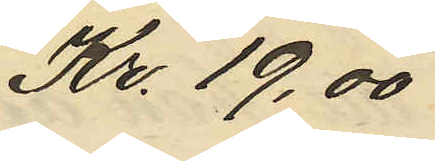Kr. 19,00
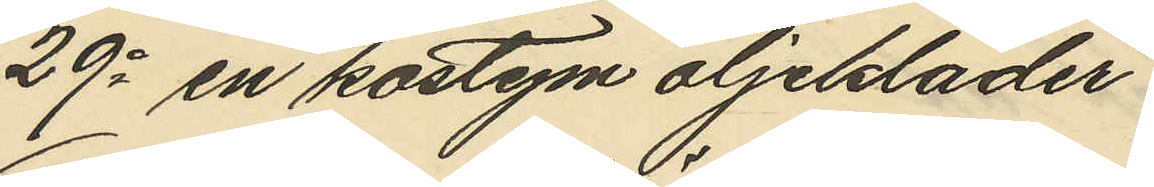29o en kostym oljekläder
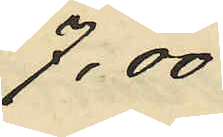7,00
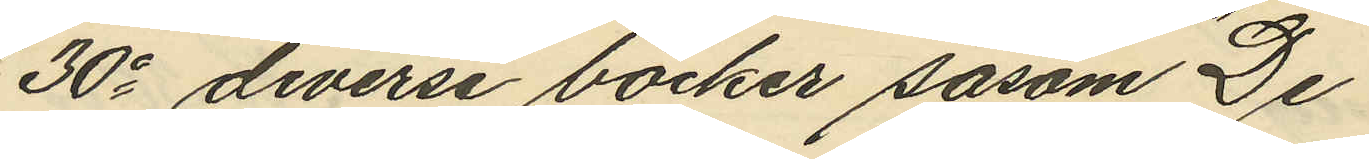30o diverse böcker såsom "De
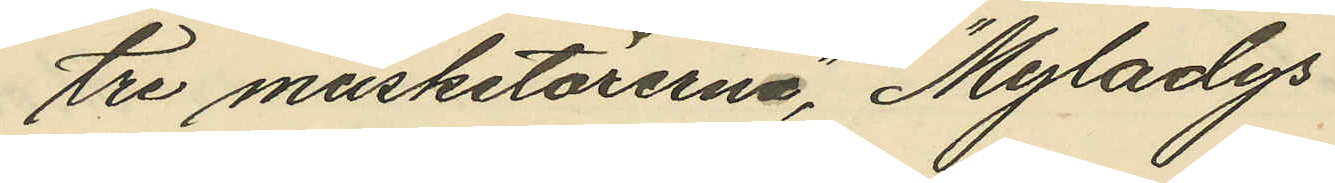tre musketörerna", "Myladys
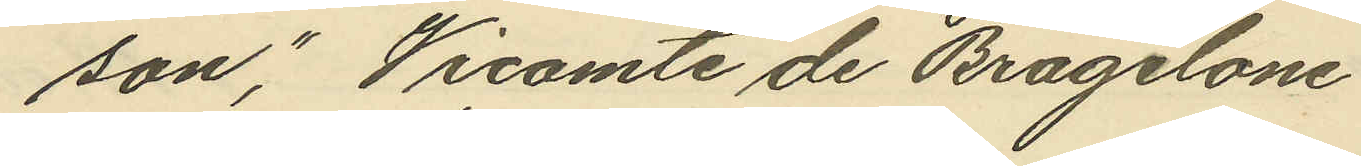son," Vicomte de Bragelone
